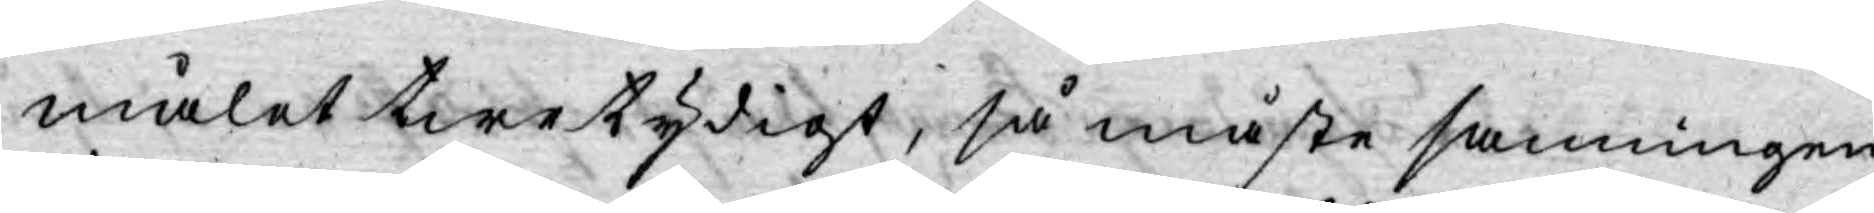målet twetydigt, så måste sanningen
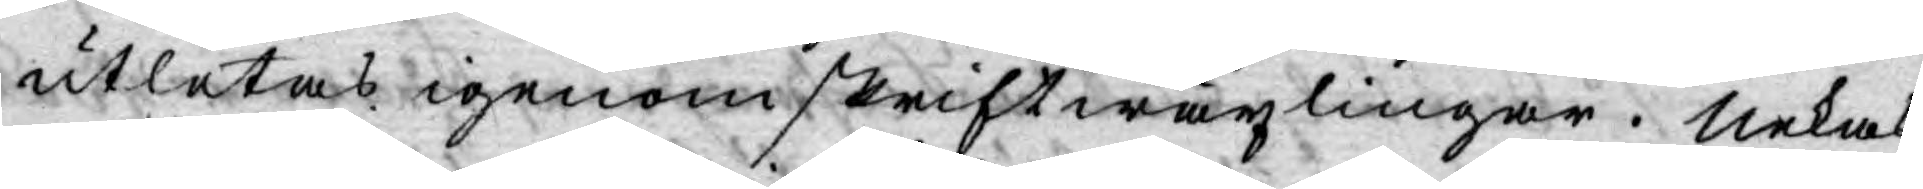utletas igenom skriftwäxlingar. Nekas
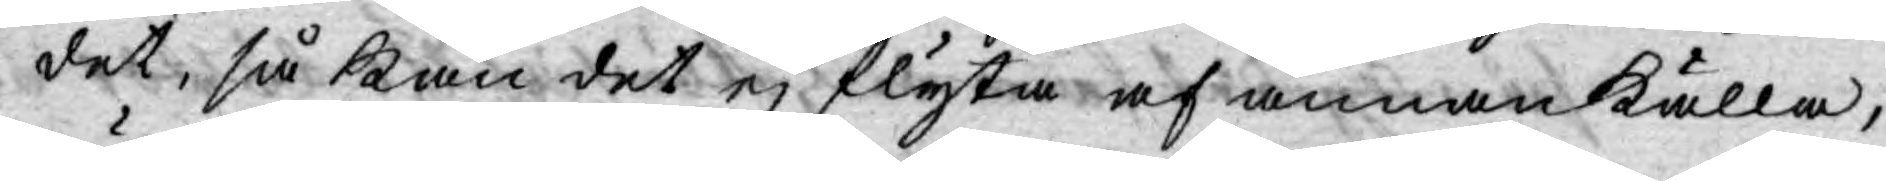det, så kan det ej flyta af annan källa,
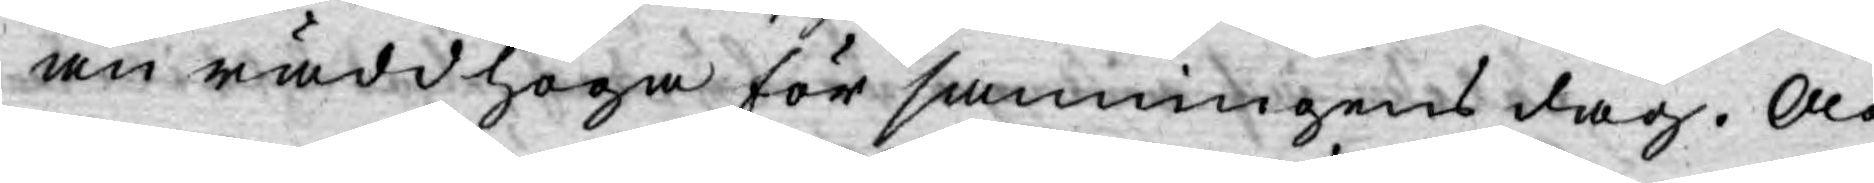än rädd hoga för sanningens dag. Och
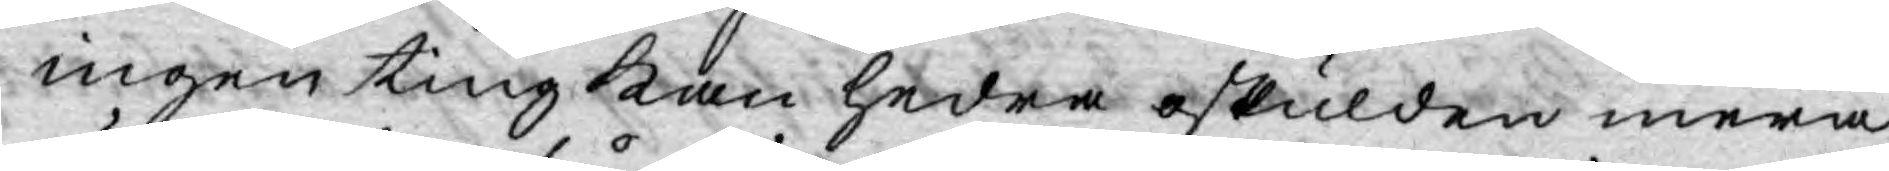ingen ting kan hedra oskulden mera,
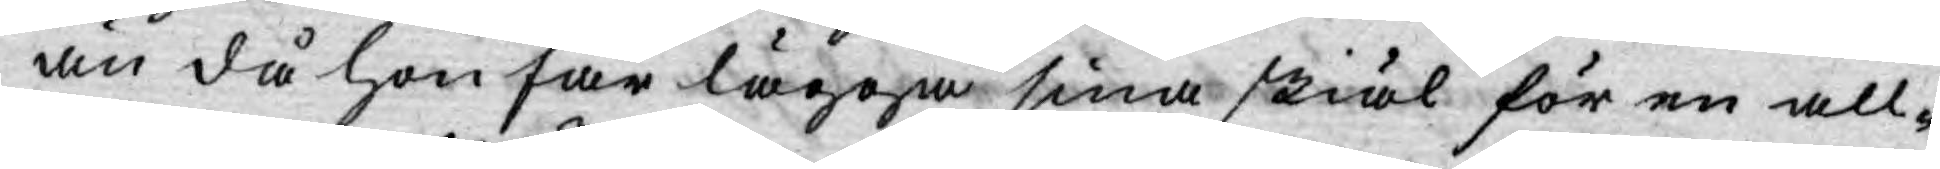än då hon får lägga sina skiäl för en all¬
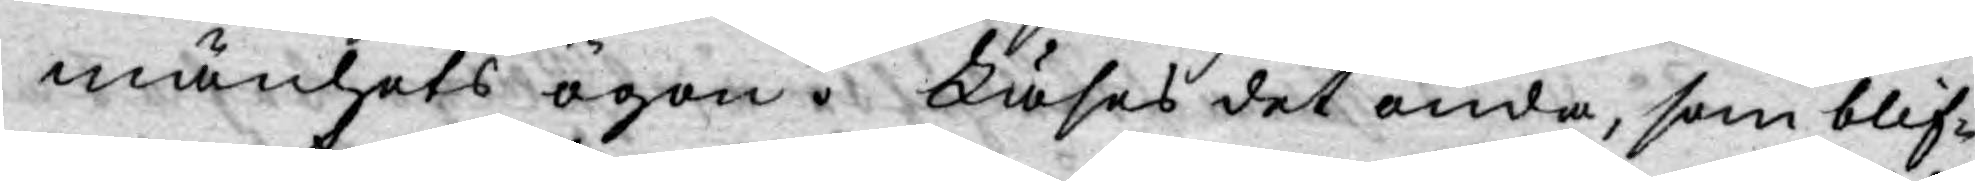mänhets ögon. Läses det onda, som blif¬
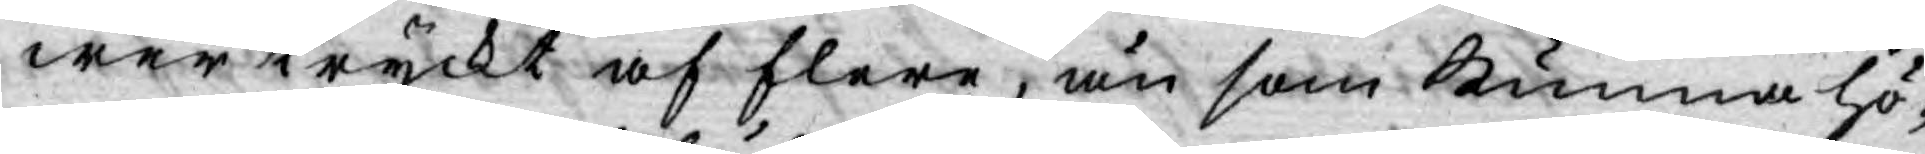wer tryckt af flere, än som kunna hö¬
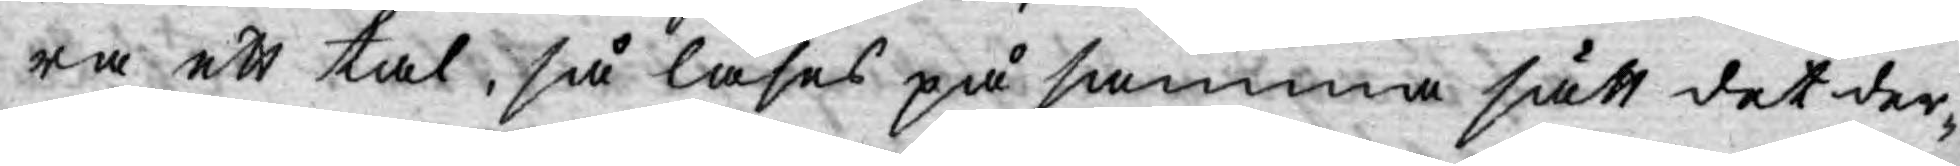ra ett tal, så läses på samma sätt det der¬
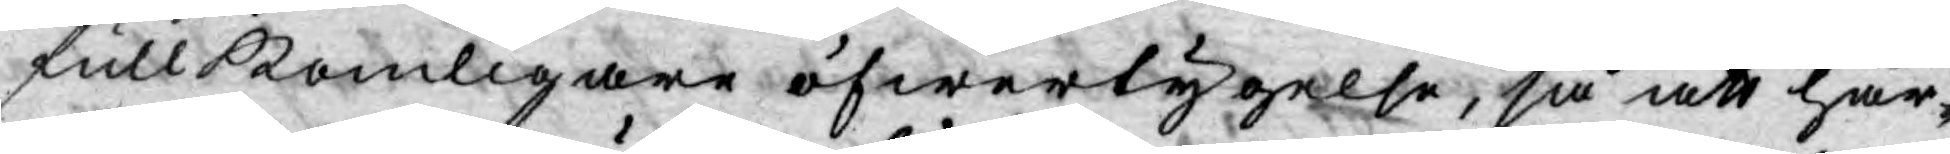fullkomligare öfwertygelse, så att här¬
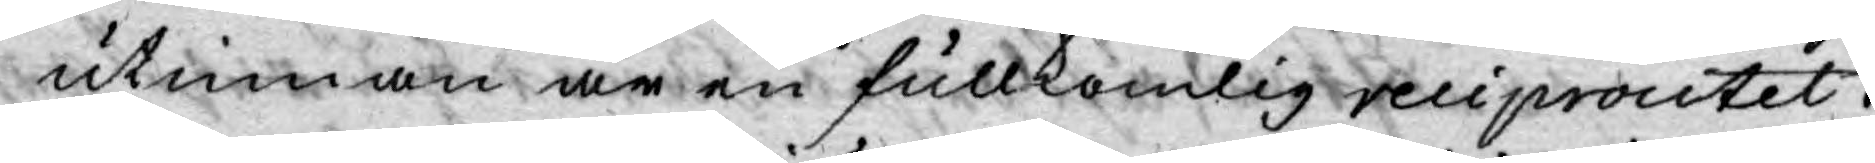utinnan är en fullkomlig reciprocitet.
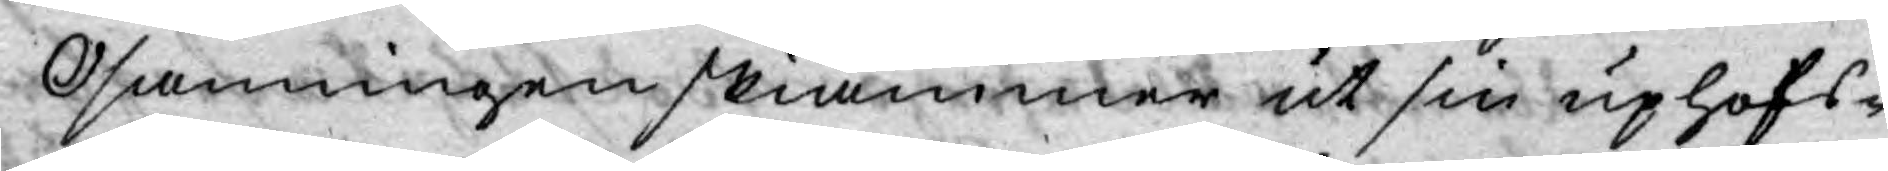Osanningen skiämmer ut sin uphofs¬
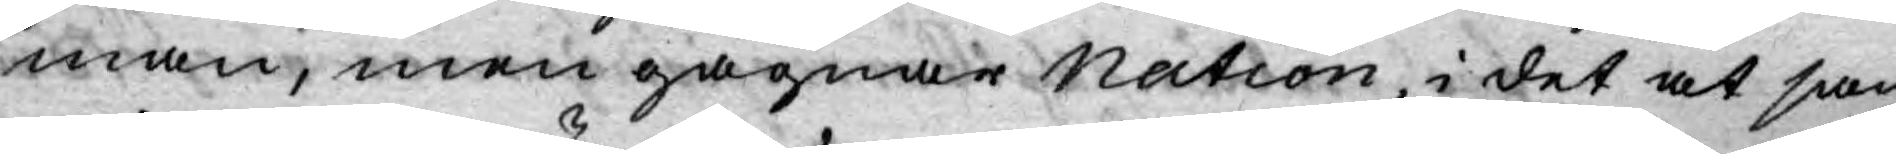man, men gagnar Nation, i det at san¬
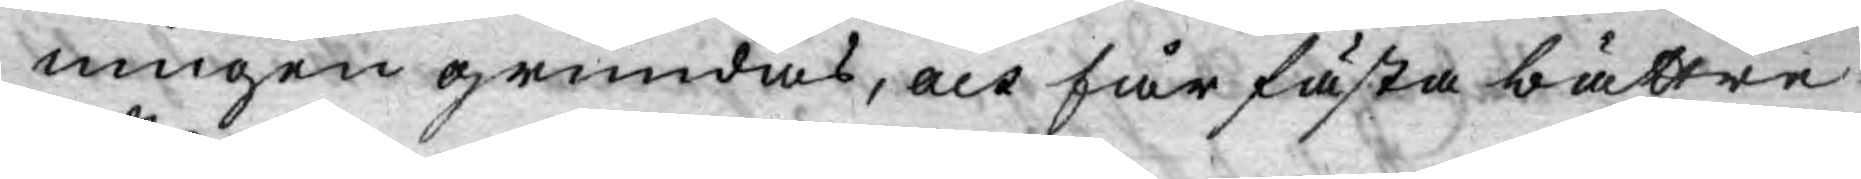ningen grundas, och får fästa bättre
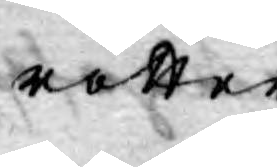rätten.
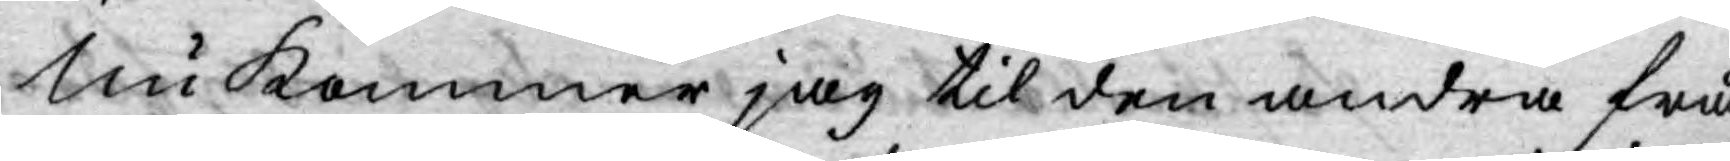Nu kommer jag til den andra frå¬
